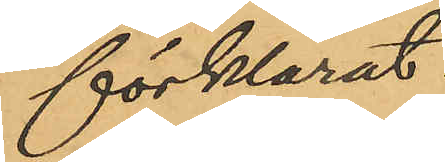förklarat:
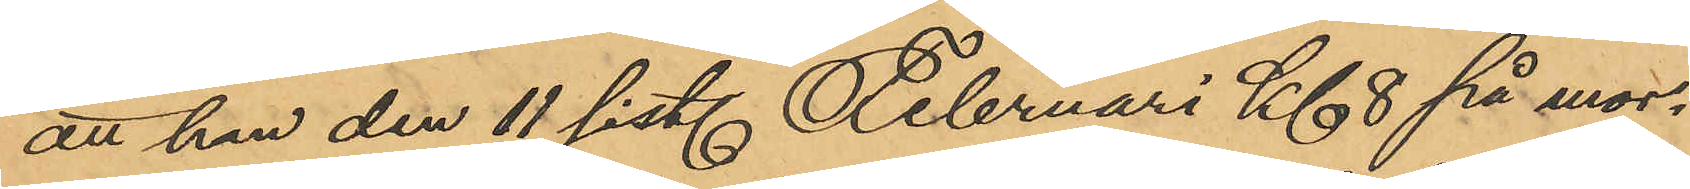att han den 11 sist. Februari Kl 8 på mor¬
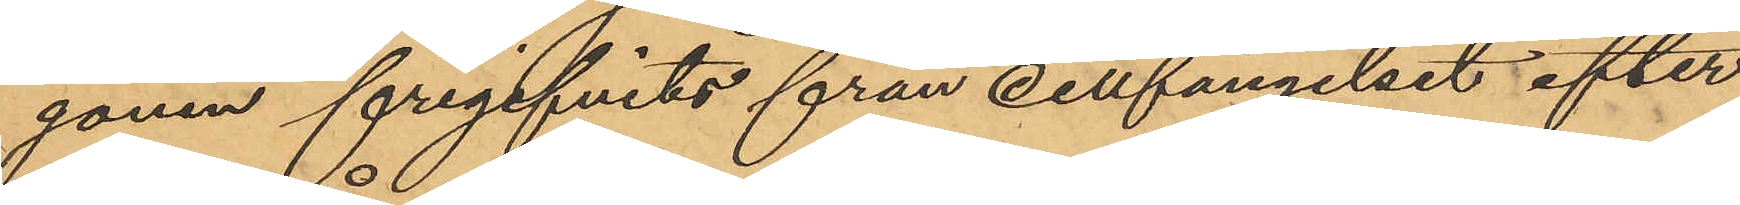gonen frigifvits från cellfängelset efter
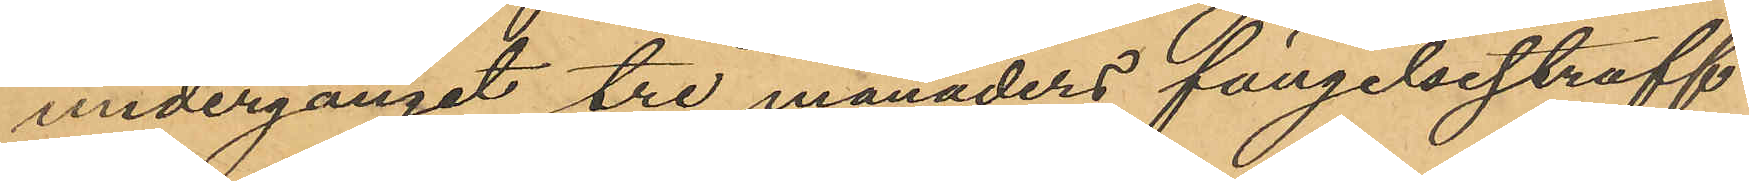undergånget tre månaders fängelsestraff
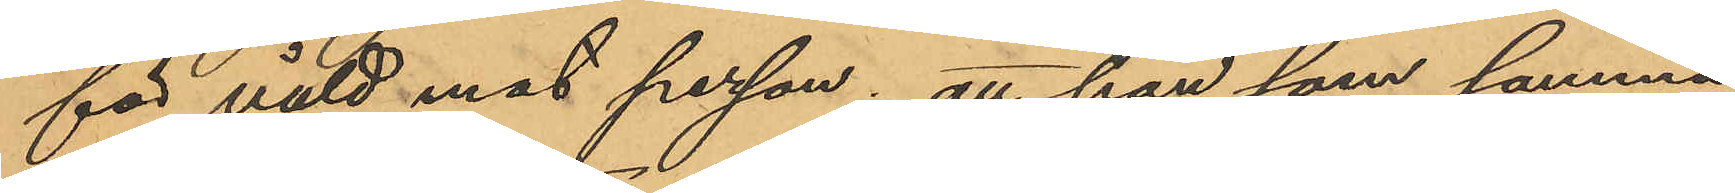för våld mot person; att han som samma
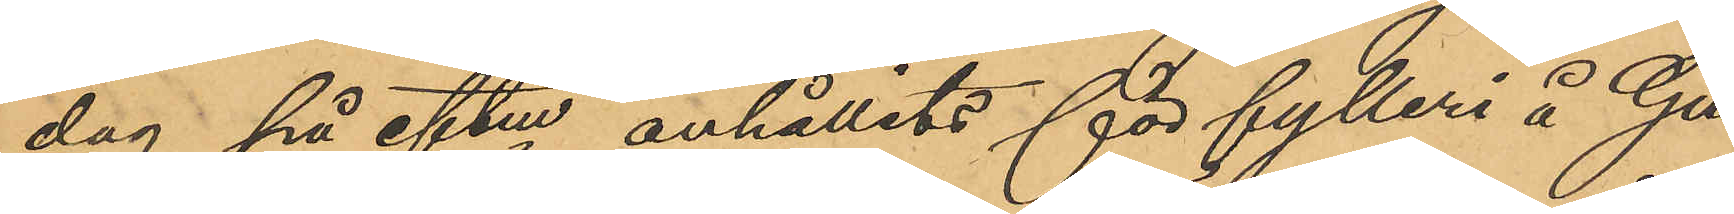dag på eftm anhållits för fylleri å Gu¬
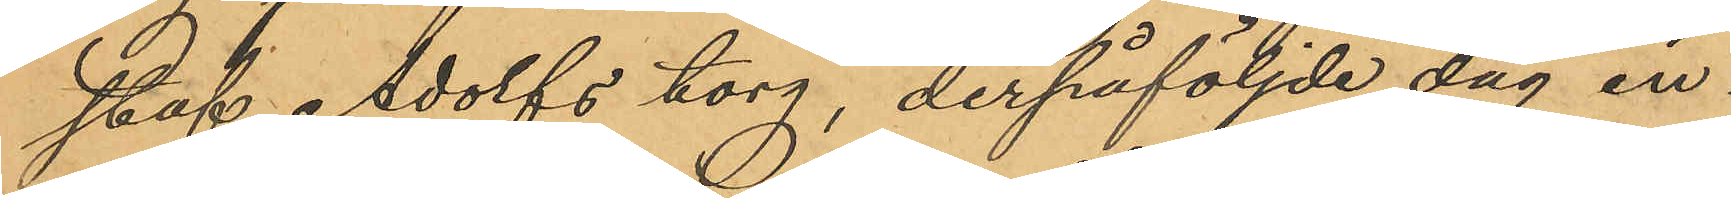staf Adolfs torg, derpåföljde dag in¬
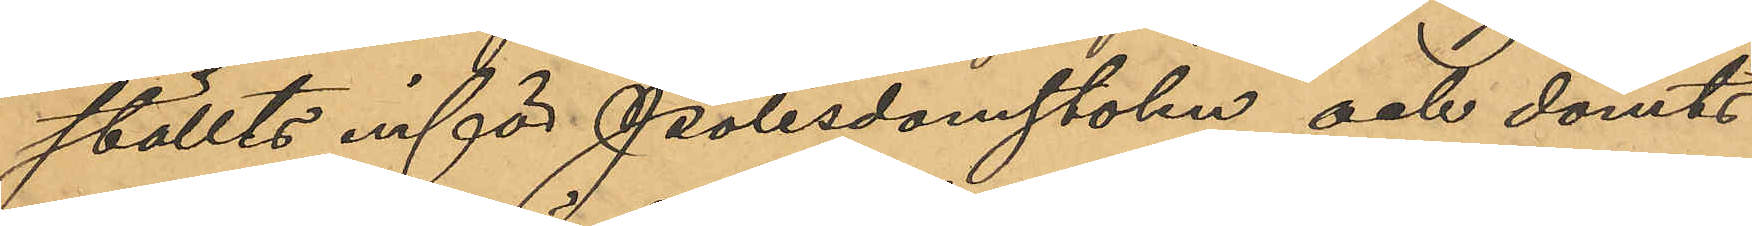ställts inför Polisdomstolen och dömts
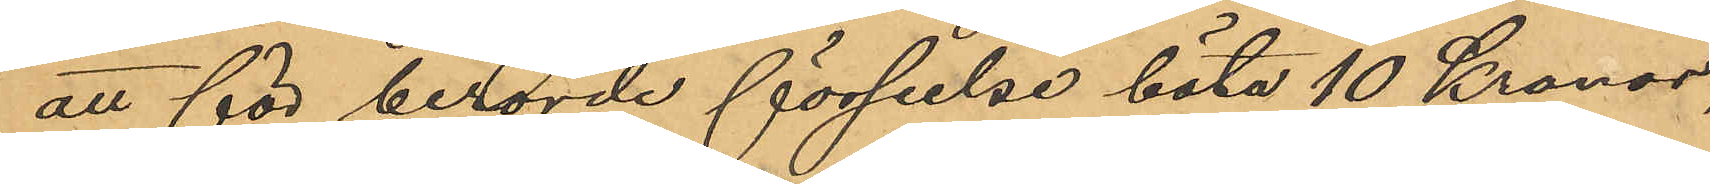att för berörde förseelse böta 10 Kronor,
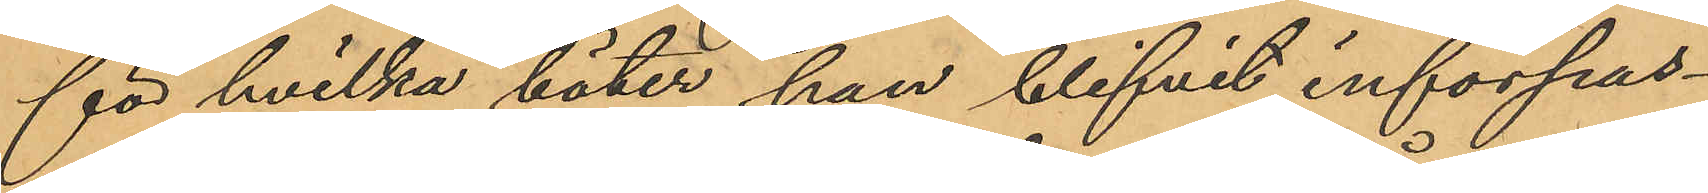för hvilka böter han blifvit införpas¬
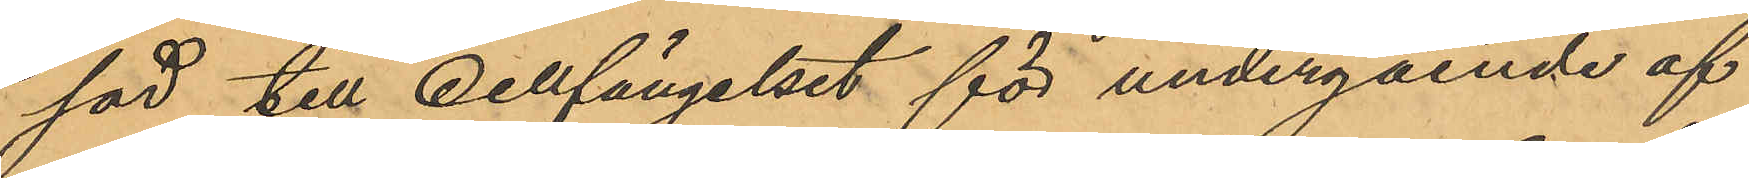sad till cellfängelset för undergående af
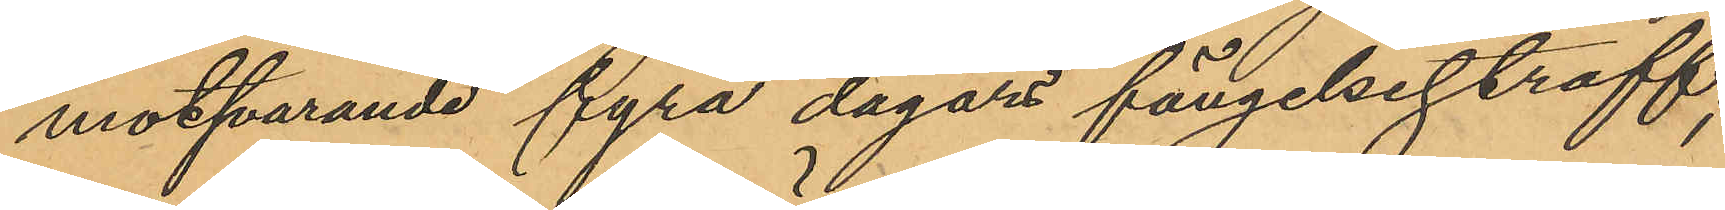motsvarande fyra dagars fängelsestraff;
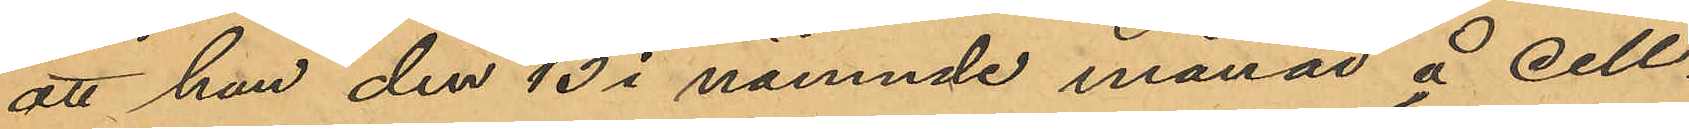att han den 13 i nämnde månad å cell¬
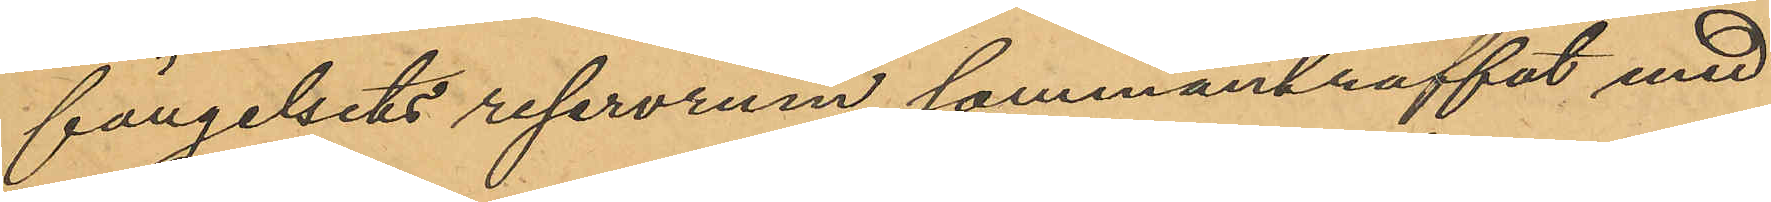fängelsets reservrum sammanträffat med
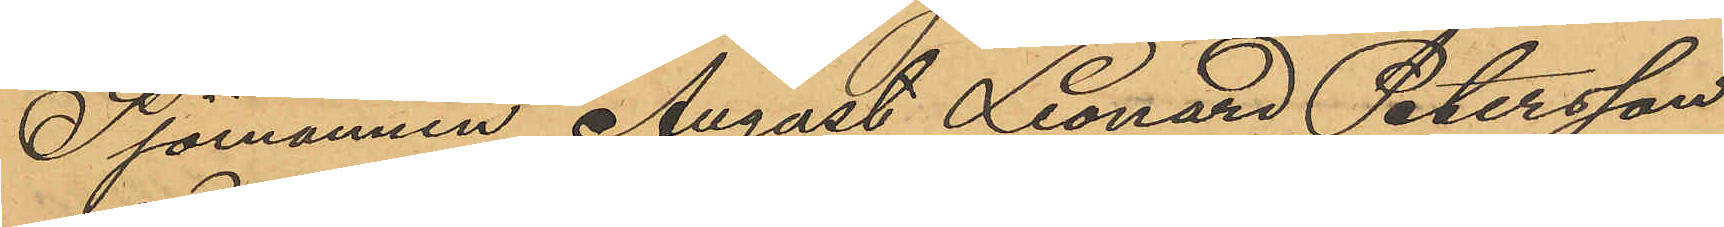Sjömannen August Leonard Petersson
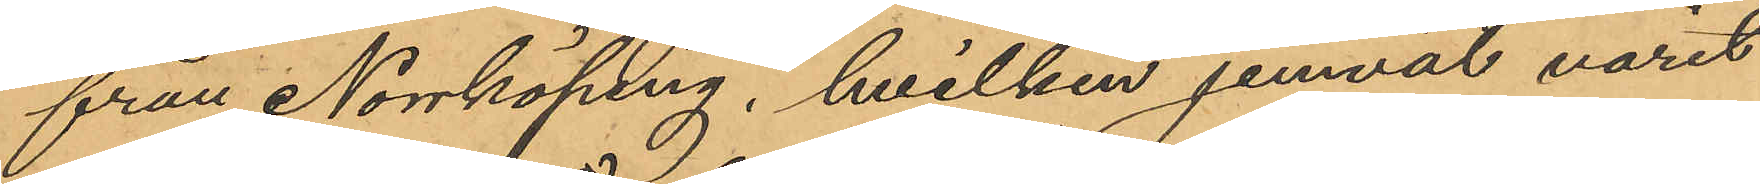från Norrköping, hvilken jemväl varit
